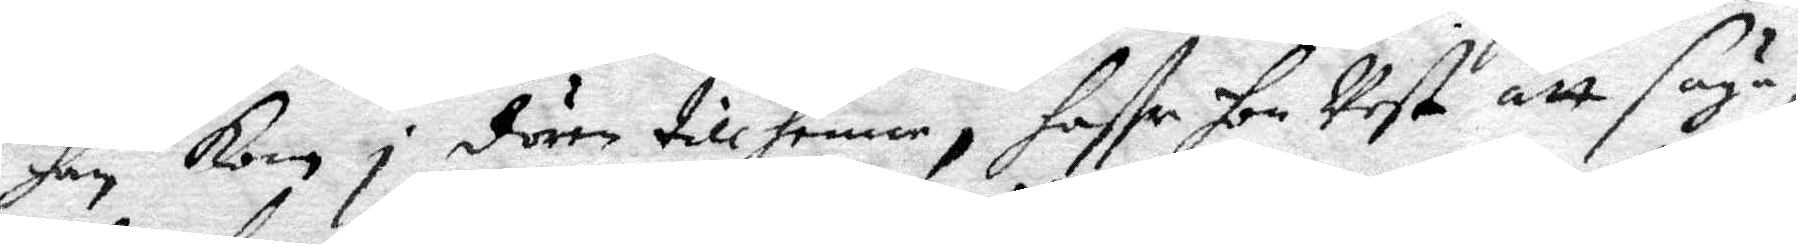han kom i dören till henne, haffr hon Vest att säya,
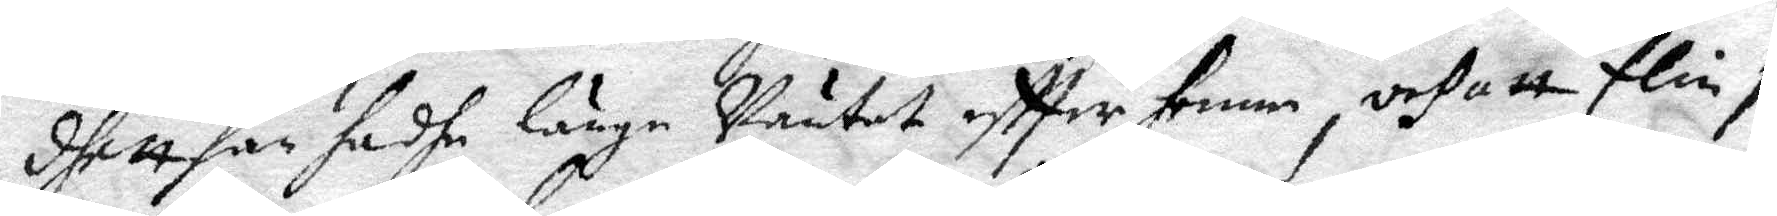dhett fan hadhe länge Väntat eftter henne, och att Elin i 
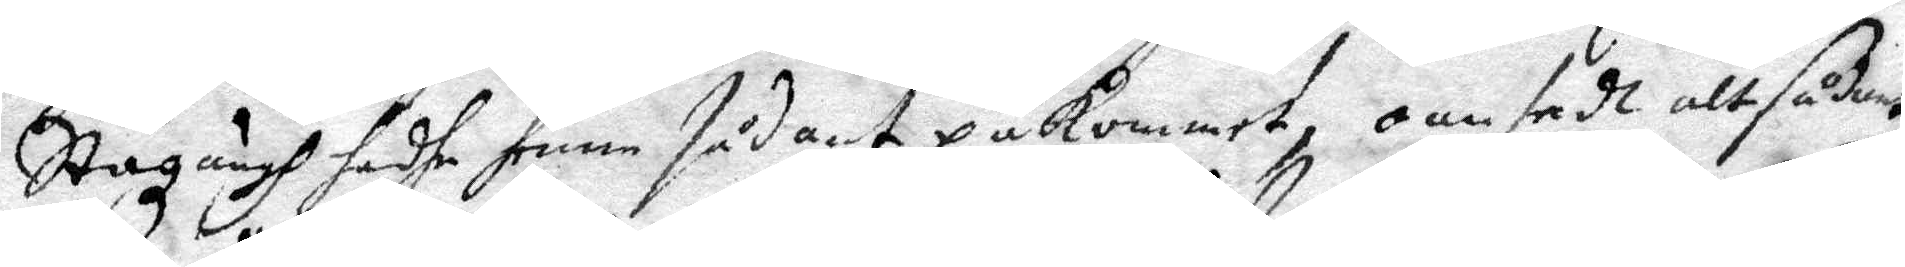Stazängh hadhe henne sådant påkommer, oansedt alt sådant
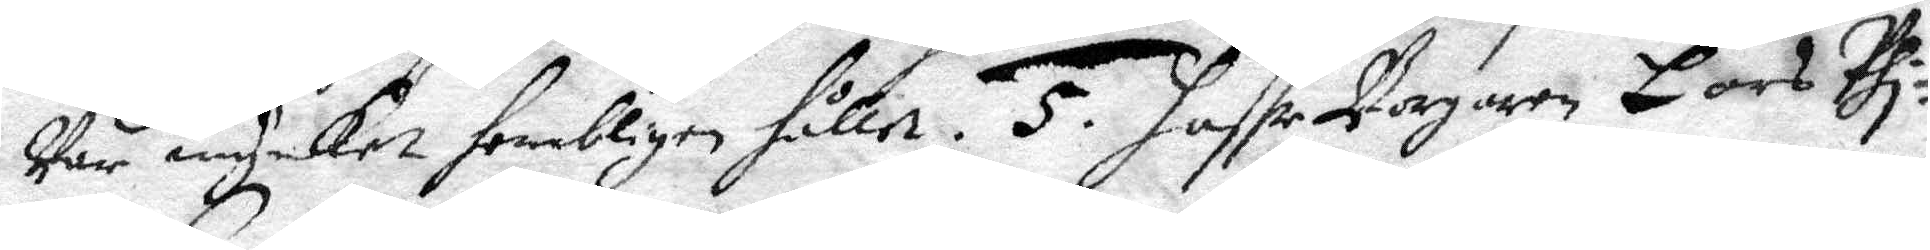Var mycket hembligen hållet. 5. haffr Borgaren Lars Phi¬
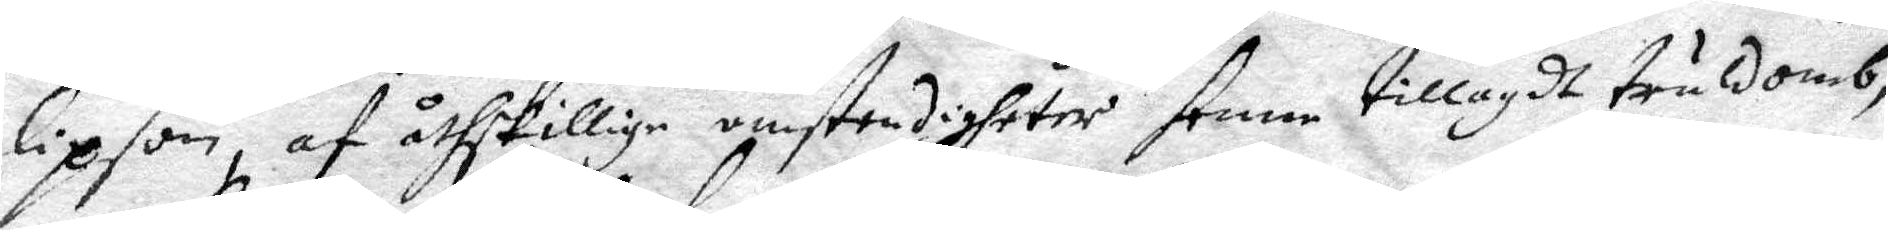lipson, af åthskillige omstendigheter henne tillagdt truldomb,
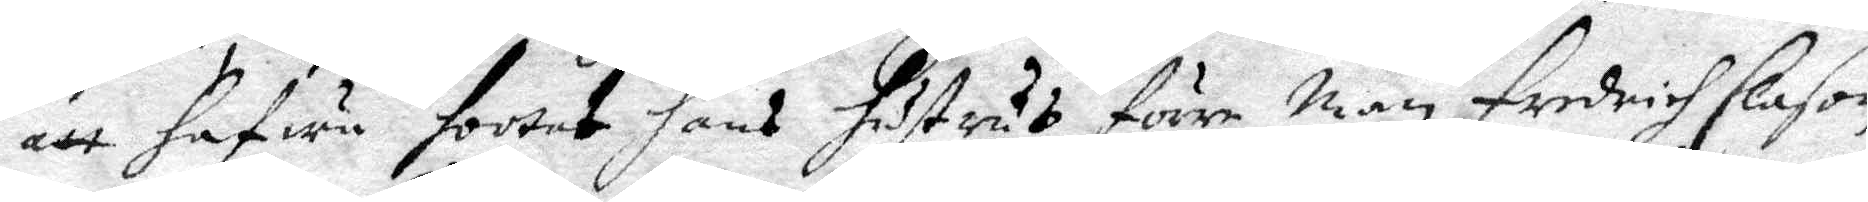att hafwa hootat hans hustrus förre man Fredich Clason
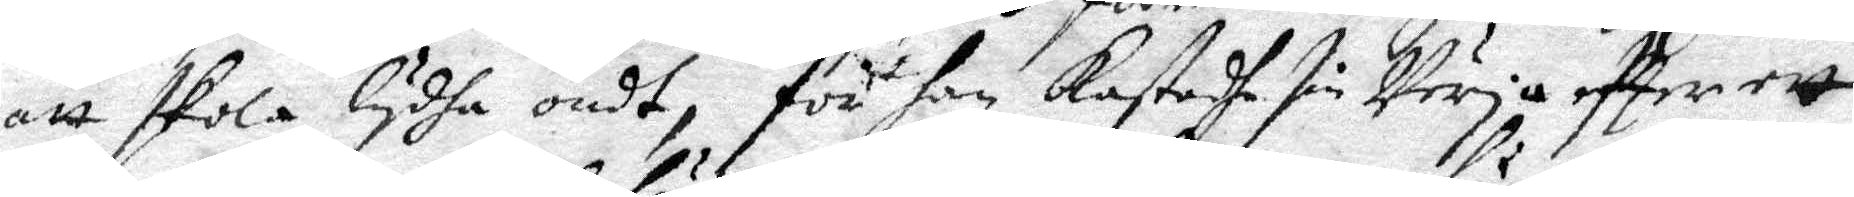att skola lydha ondt, för han kastadhe sin Värja eftter ett
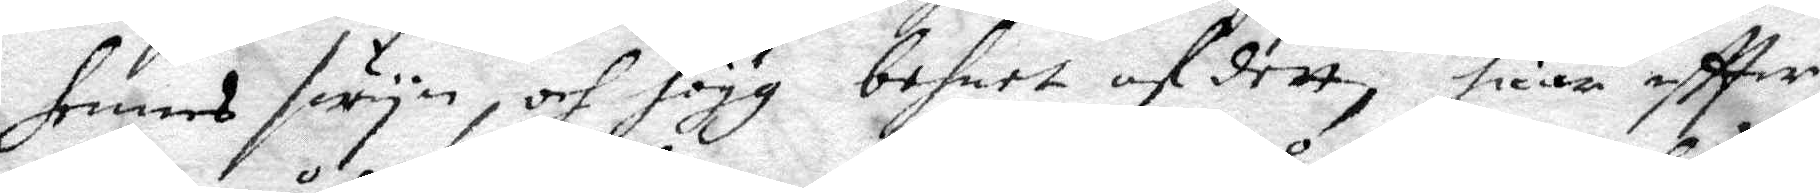hennes swyn, och högg behnet af dett, huar eftter
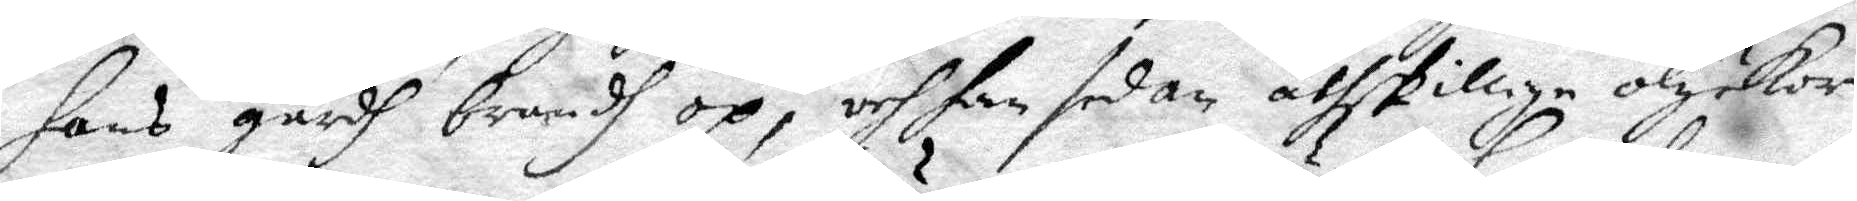hans gårdh brandh op, och han sedan åtskillige olyckor
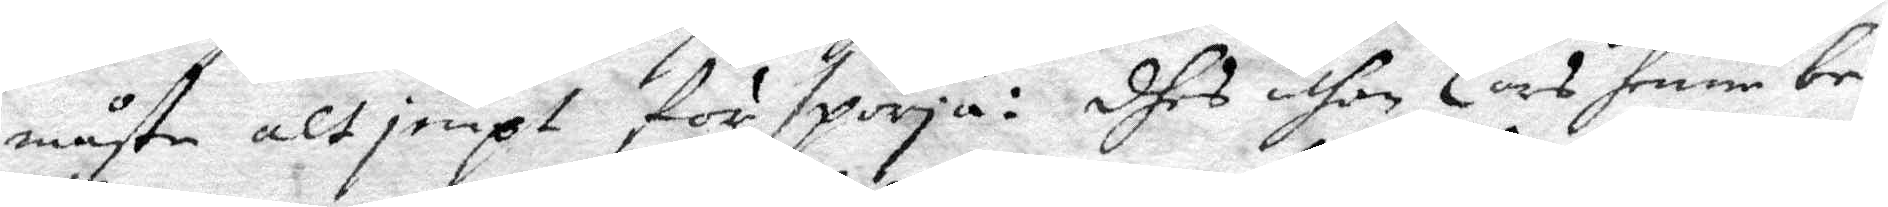måste altjempt förspörja: dhes uthan Lars henne be¬
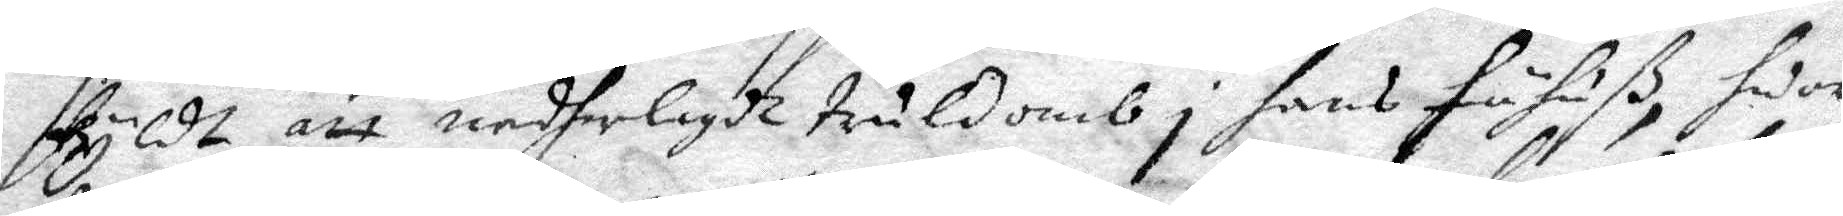skyldt att nederlagdt truldomb i hans hustruß, sedan
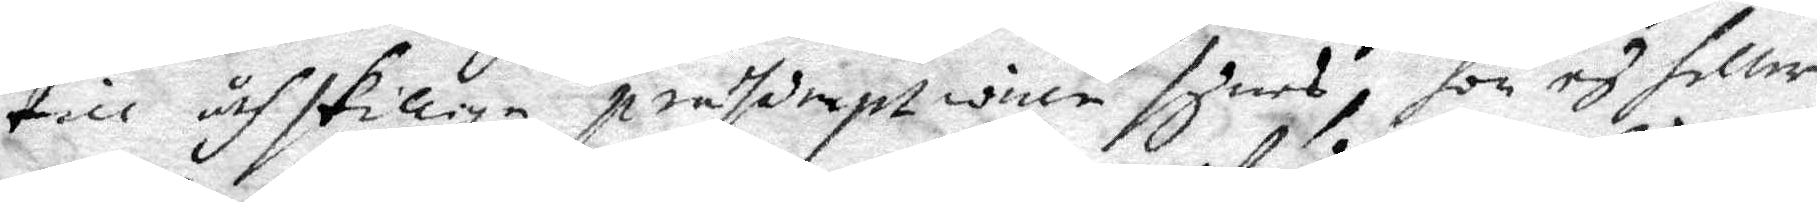till åthskilliga prasorept willw syndes, hon ey heller
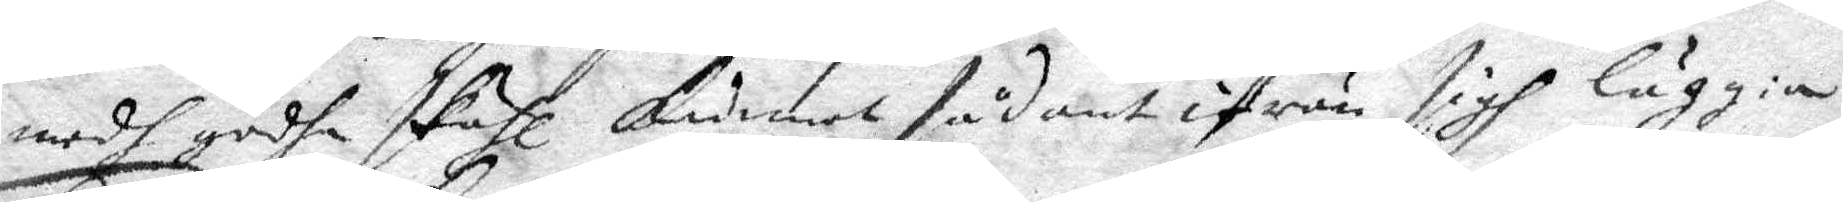medh godhe skähl kunnat sådant ifrån sigh läggia.
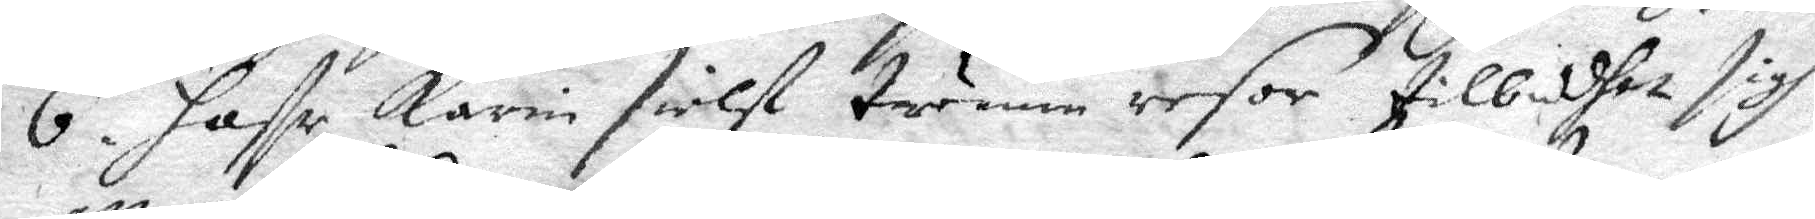6. Hffr Karin sielf twenne resor tilbedhet sigh
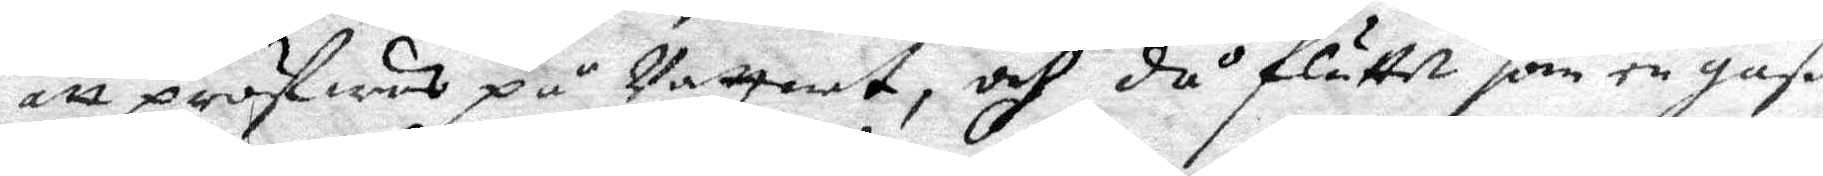att pröfwas på Vattnet, och då flöttet som en gåß.
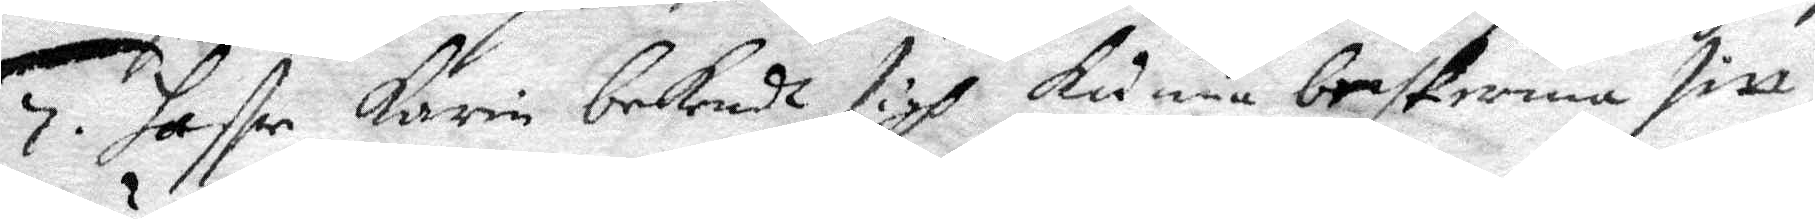7. haffr Karin bekendt sigh beskerma sitt
